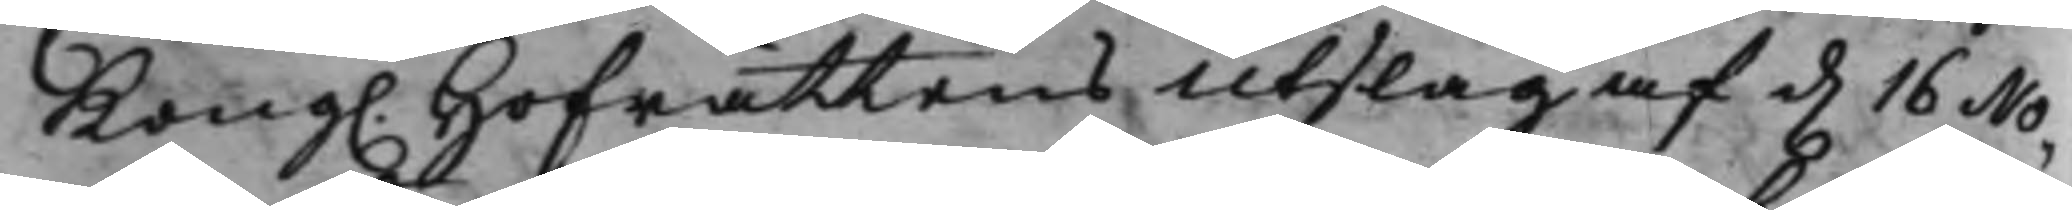Kong. Hofrättens Utslag af d. 16 No¬
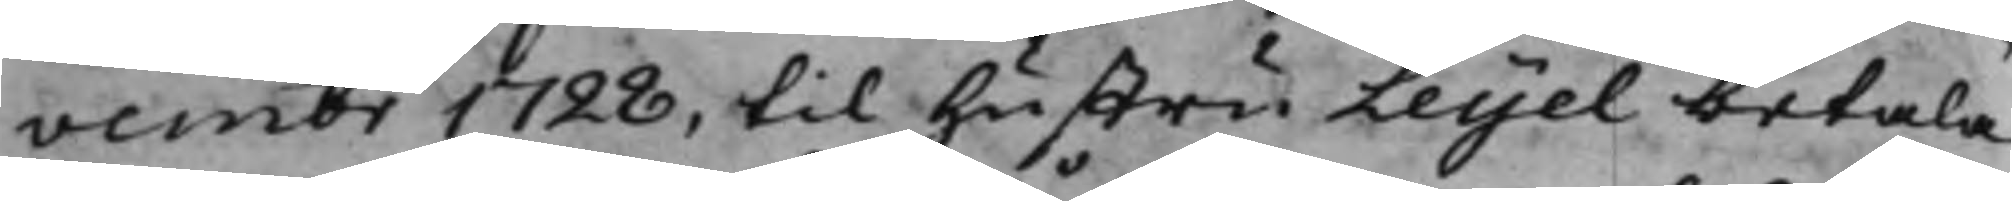vembr 1728, til Hustru Leyel betala
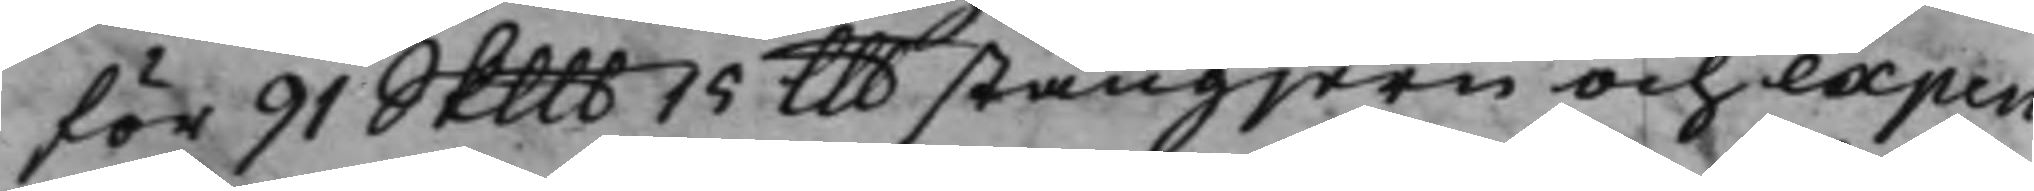för 91 Skllb 14 llb stångjern och expen¬
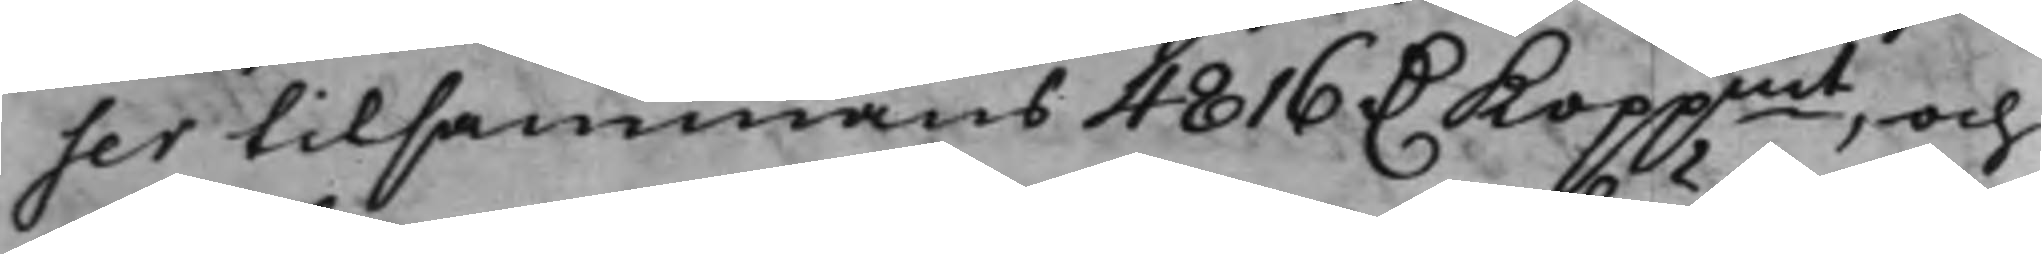ser tilsammans 4816 D. Koppmt, och
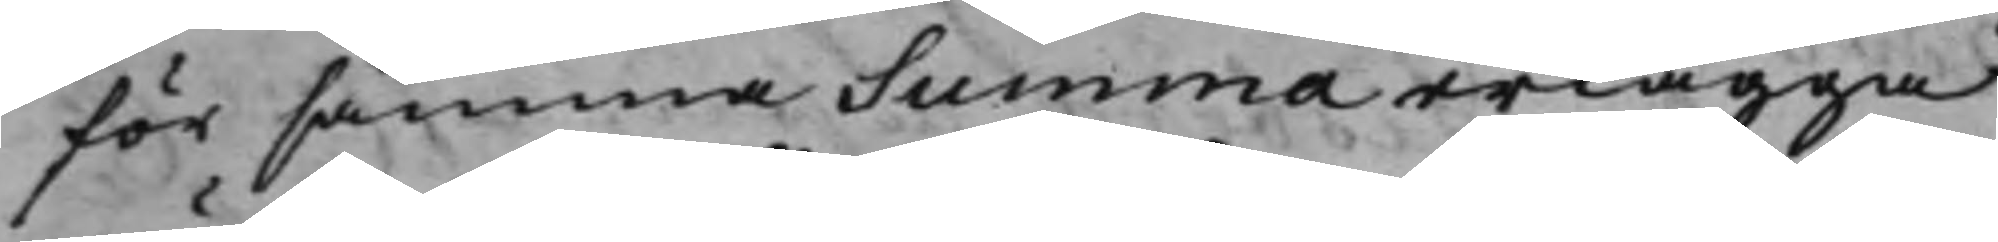för samma Summa erlägga
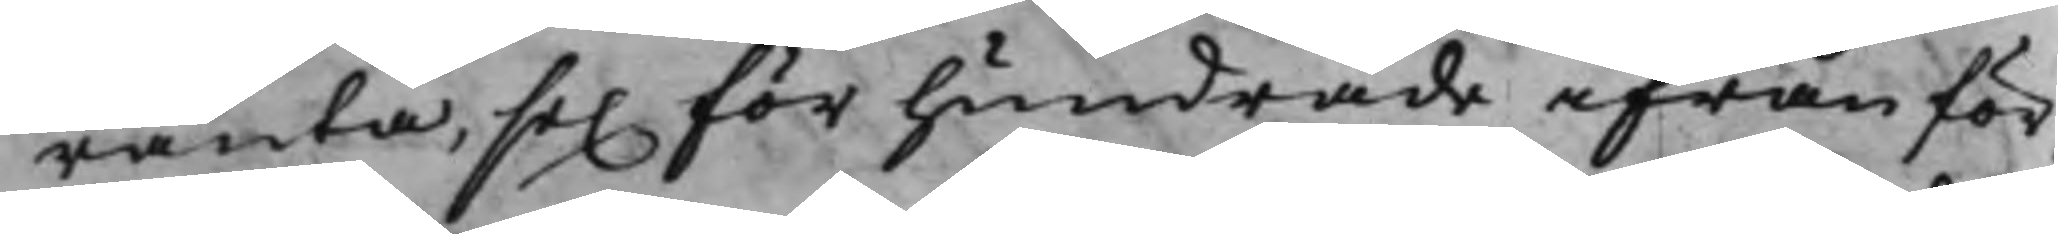ränta, sex för hundrade ifrån för¬
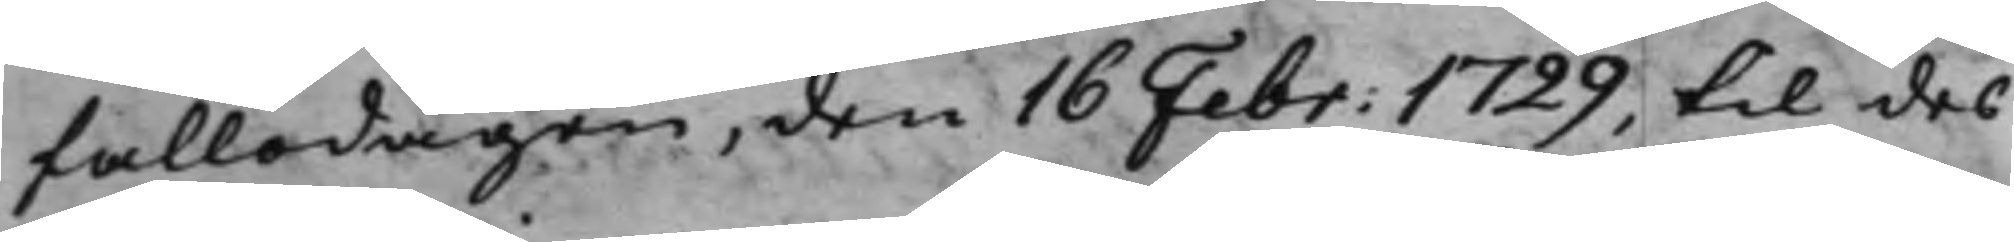fallodagen, den 16 Febr: 1729, til des
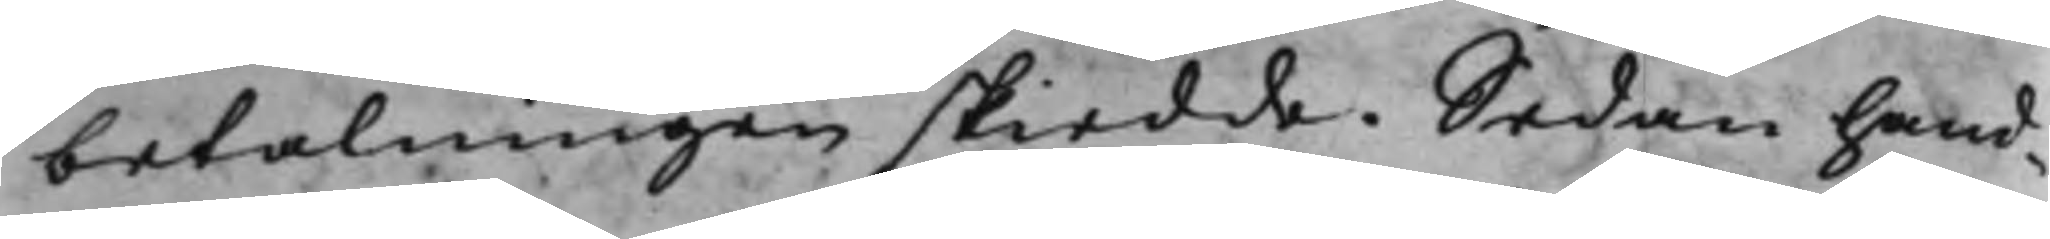betalningen skiedde. Sedan hand¬
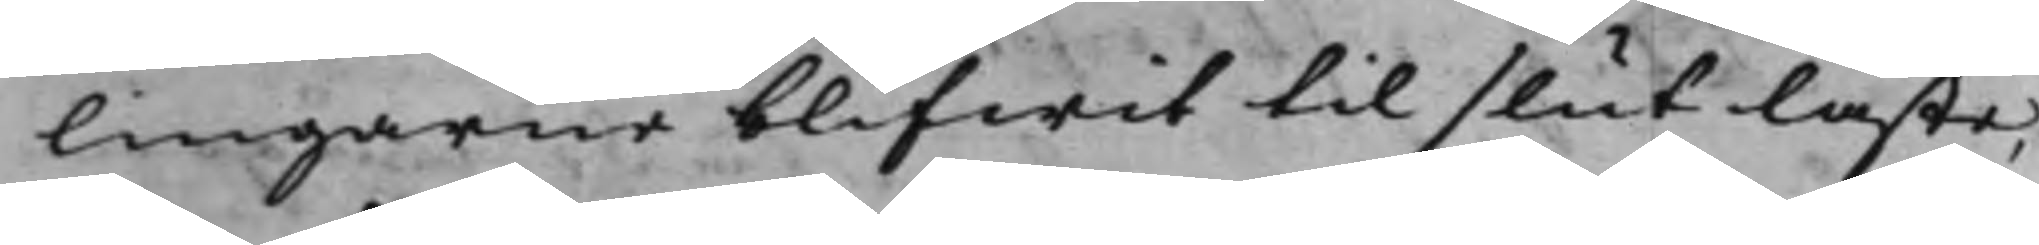lingarne blifwit til slut läste,
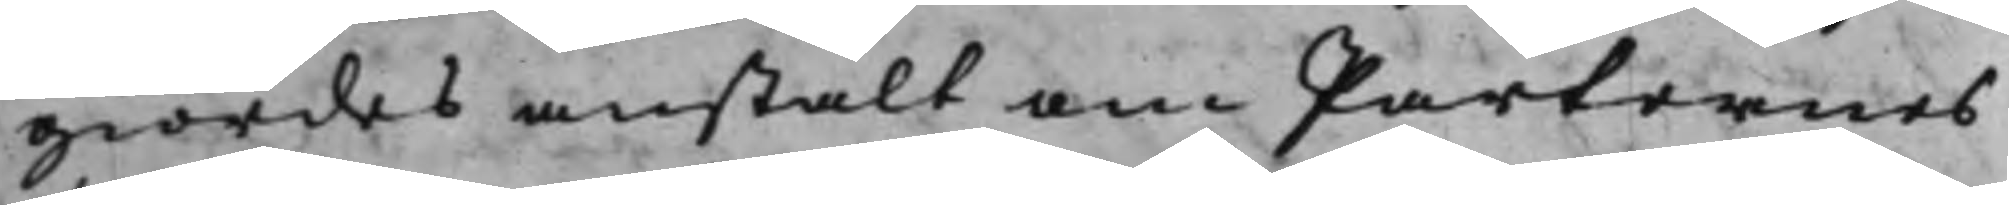giordes anstalt om Parternes
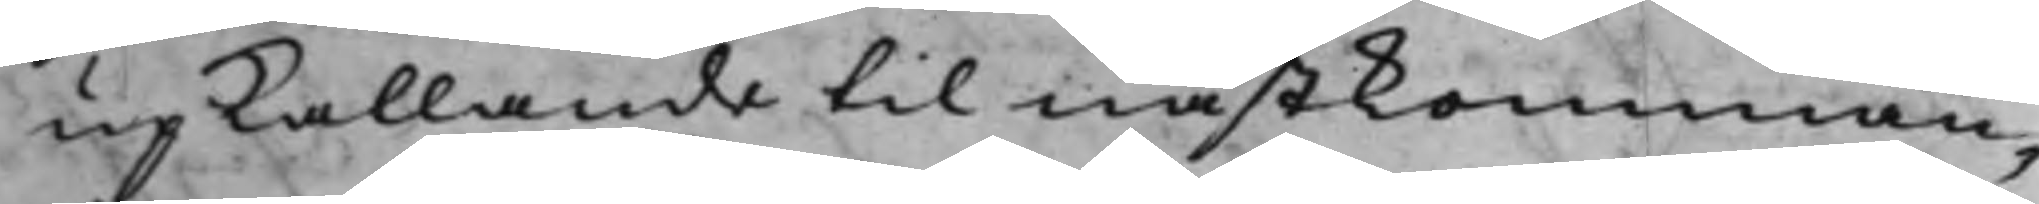upkallande til nästkomman¬
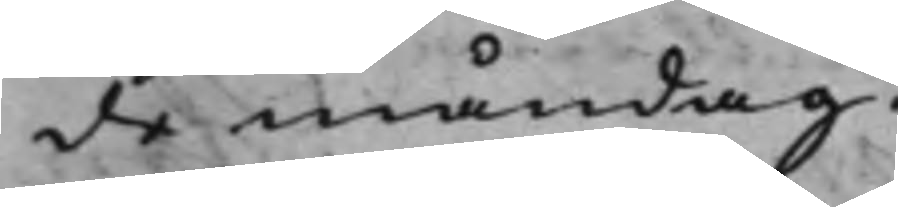de måndag.
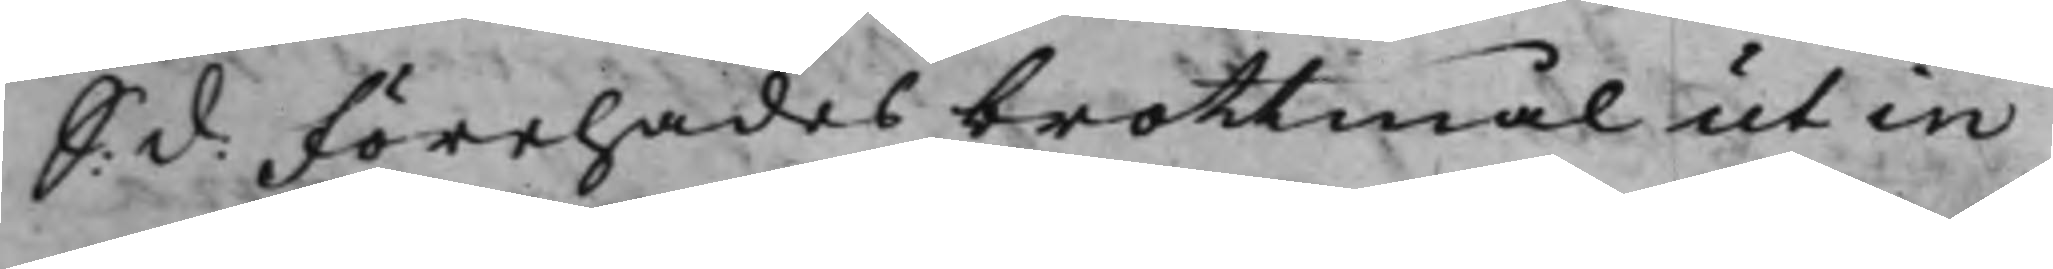S: d: Förehades brottmål ut in
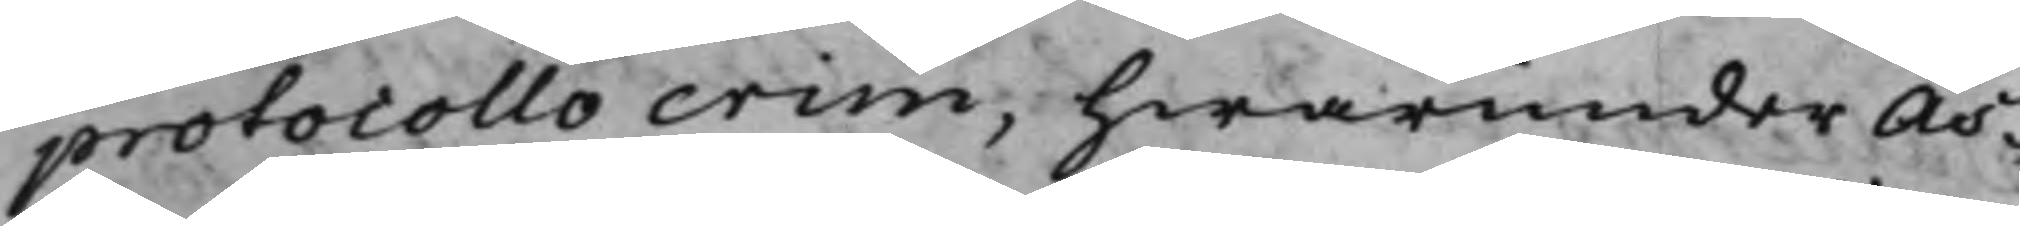protocollo crim, hwarunder As¬
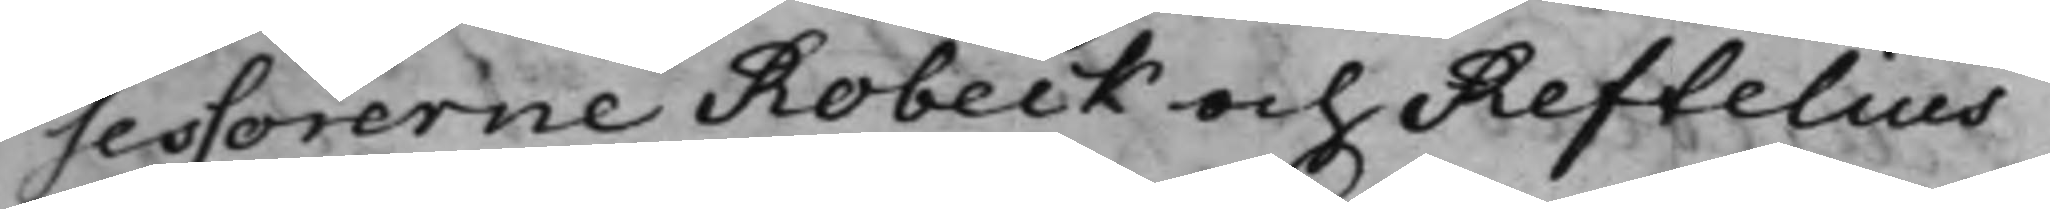sessorerne Robeck och Reftelius
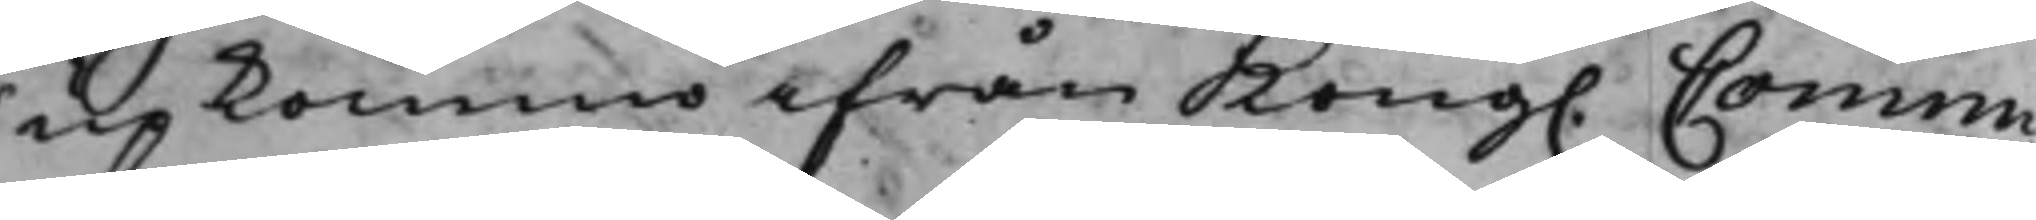upkommo ifrån Kong. Commi¬
